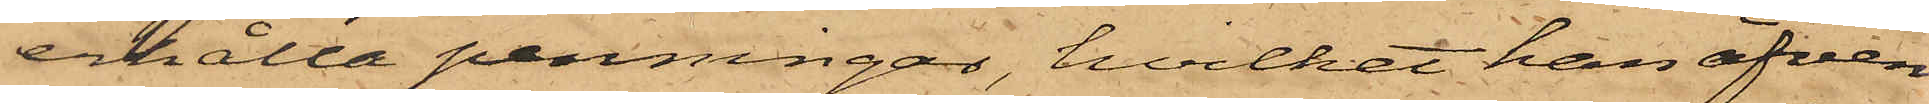erhålla penningar, hvilket han äfven
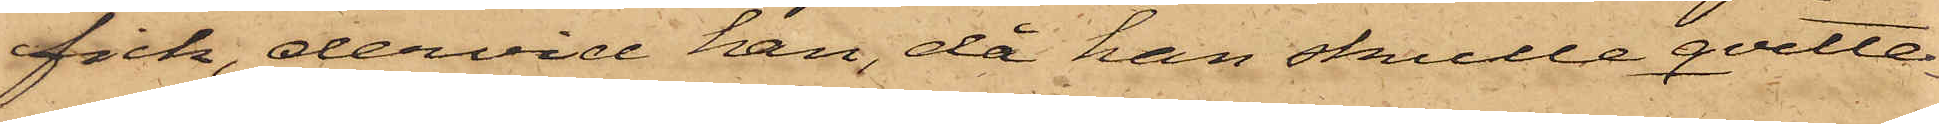fick, dervid han, då han skulle qvitte¬
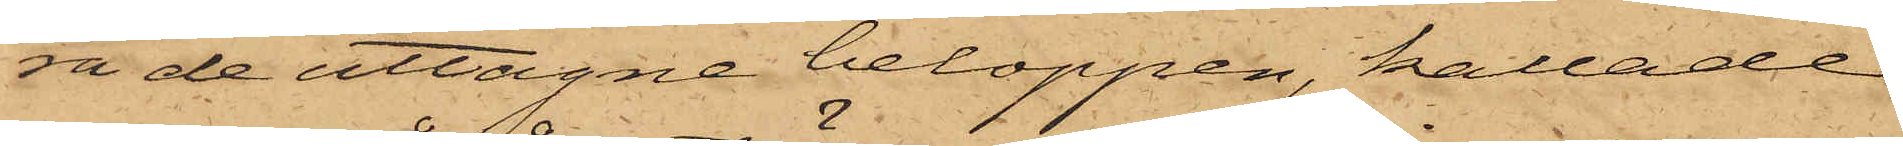ra de uttagne beloppen, kallade
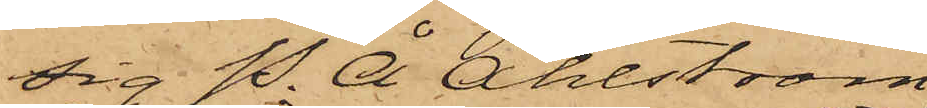sig P. Å. Åhlström,
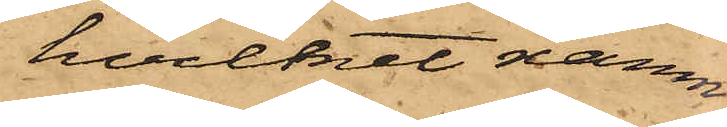hvilket namn
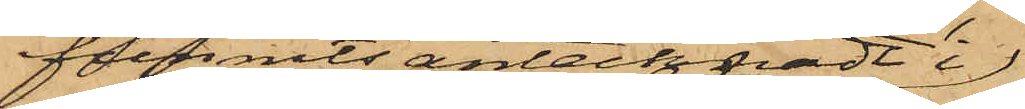funnits antecknadt i
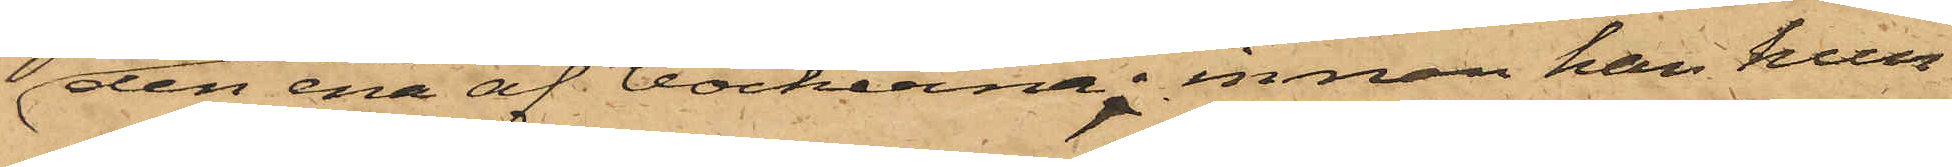den ena af böckerna; innan han hun¬
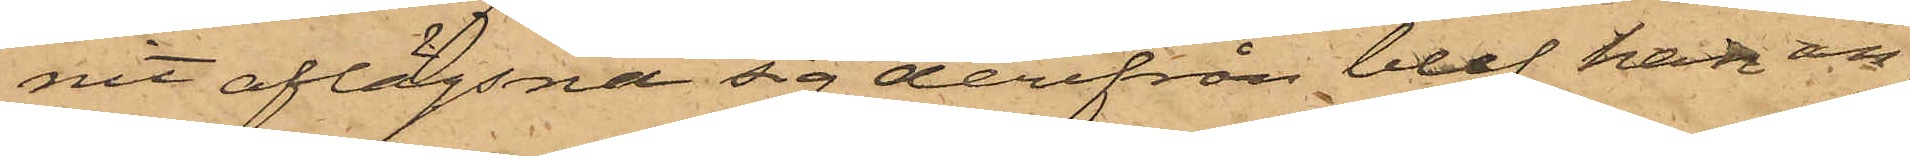nit aflägsna sig derifrån blef han an¬
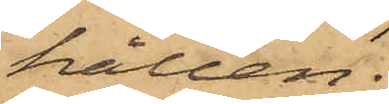hållen.
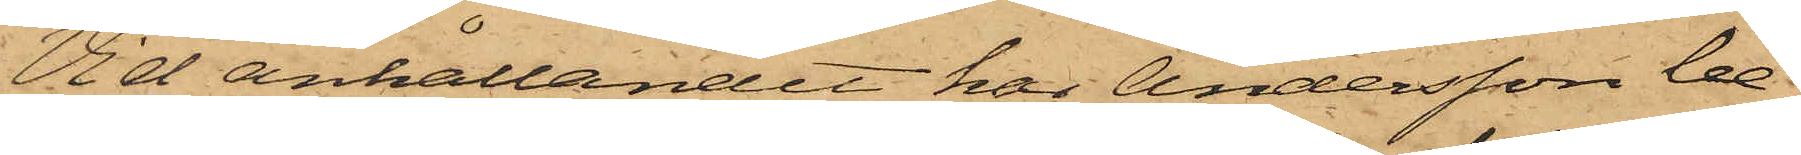Vid anhållandet har Andersson be¬
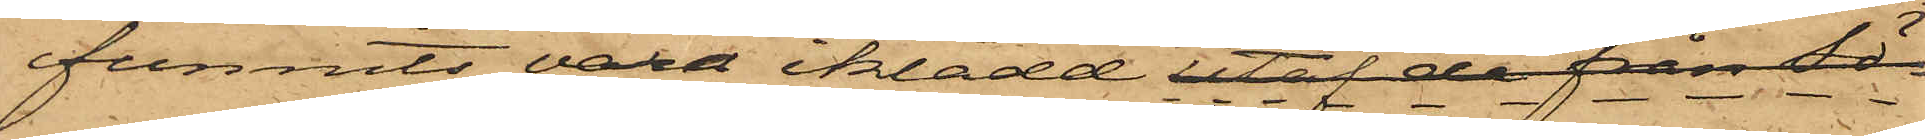funnits vara iklädd utaf de från Sö¬
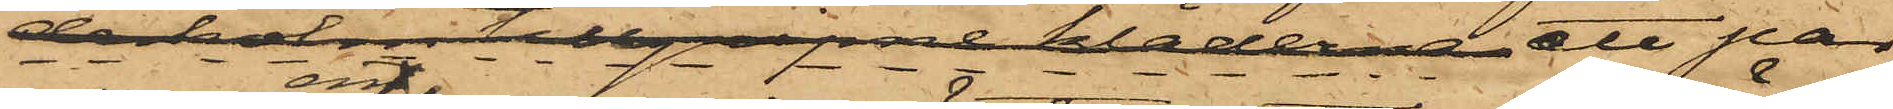derholm tillgripne kläderna ett par
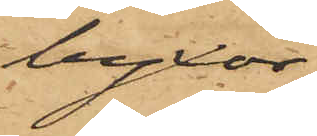byxor
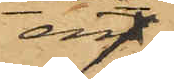en
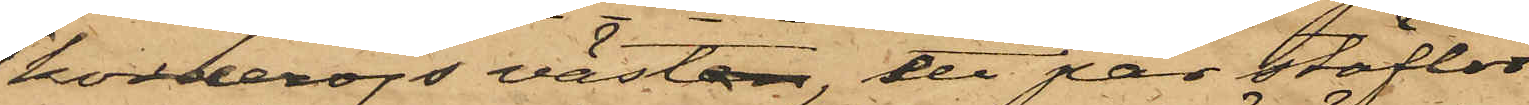korderojs västen, ett par stöflor
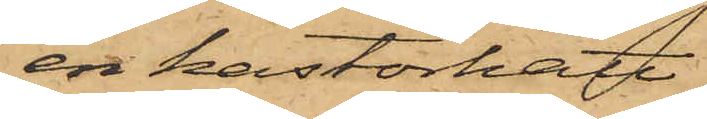en kastorhatt
